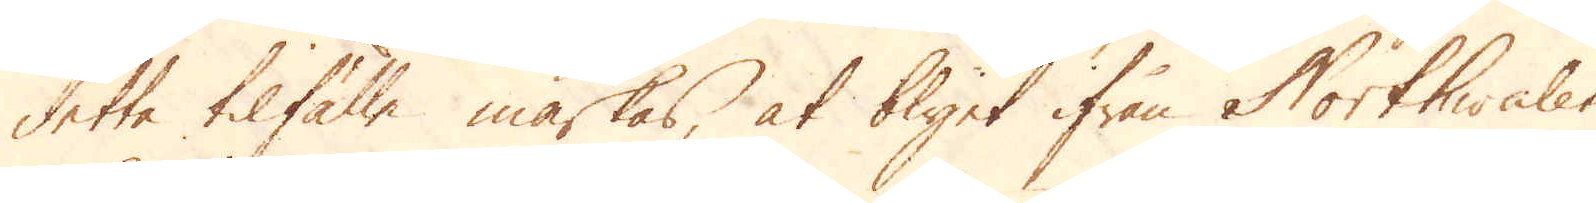detta tilfälle märkas, at blyet ifrån Northwales
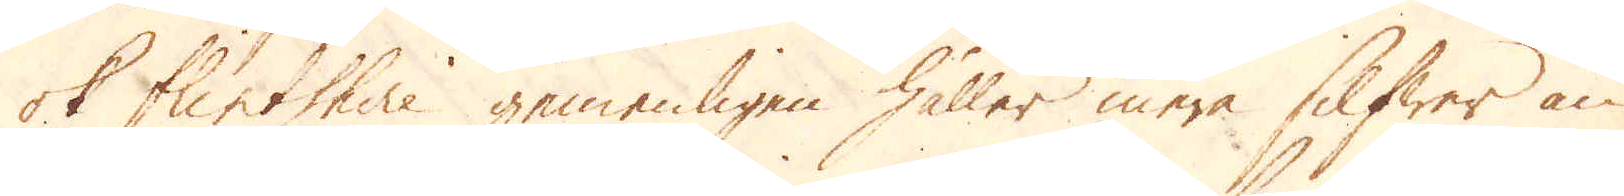ok Flintshire gemenligen håller mera Silfwer än
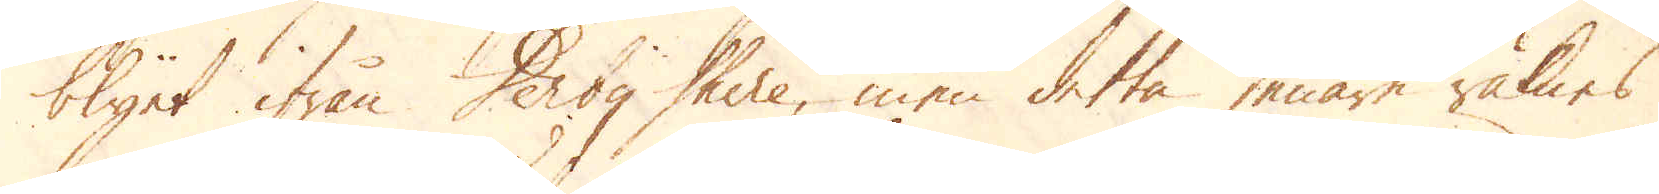blyet ifrån Derby Shire, men detta senare räknas
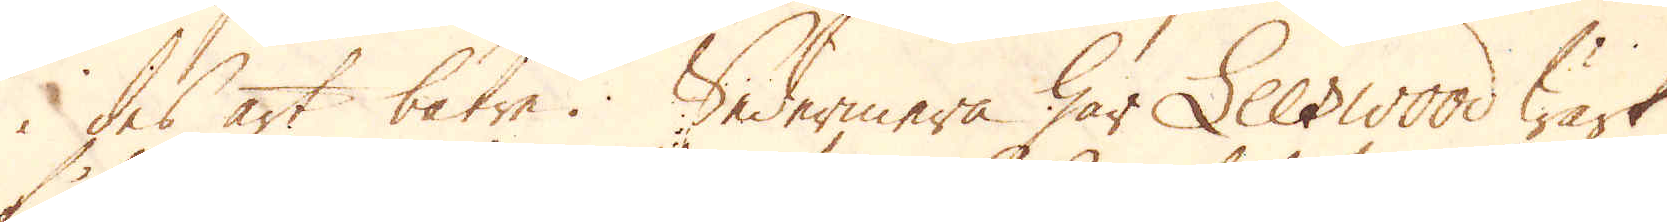i des art bätre. Sedermera har Leeswood wärk
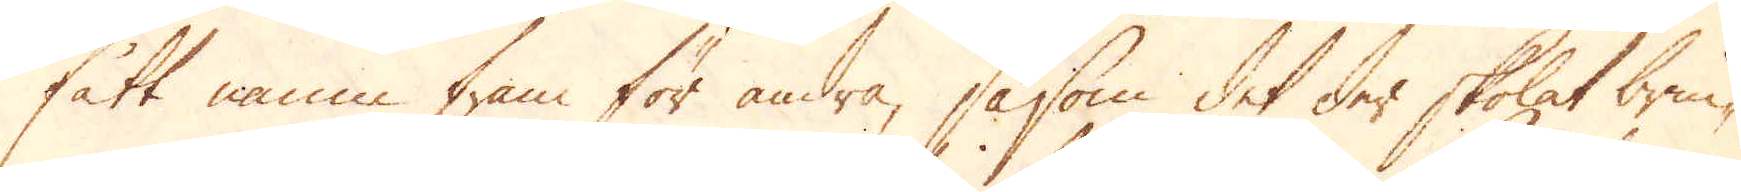fått namn fram för andra, såsom det der skolat brin-
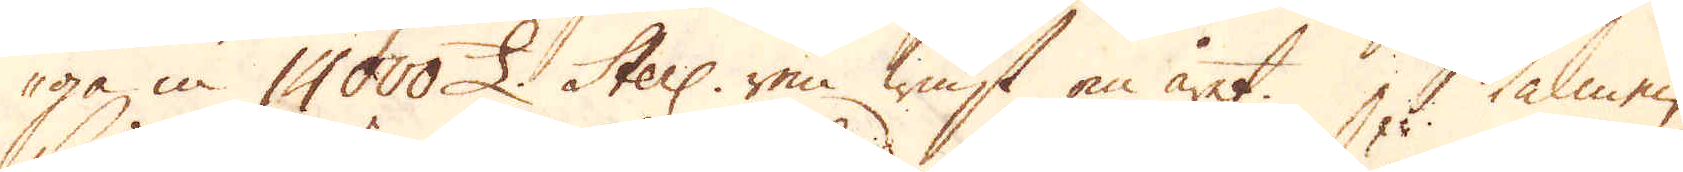ga in 14000 £. Sterl: ren winst om året. Malmen
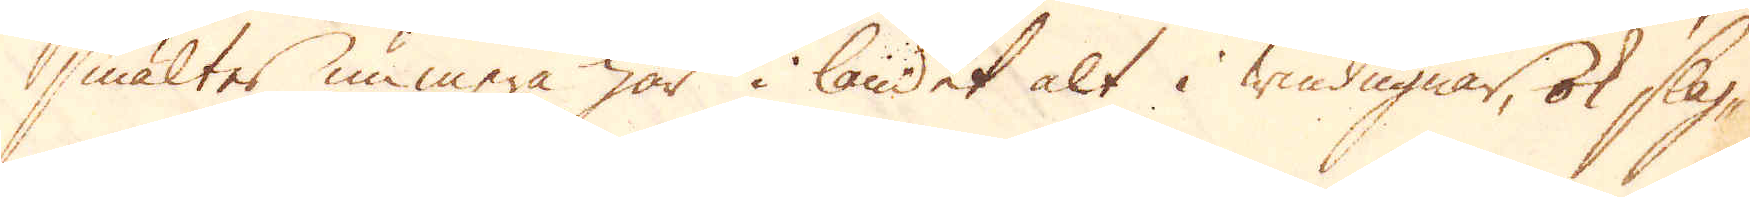smältes nu mera här i landet alt i windugnar, ok slag-
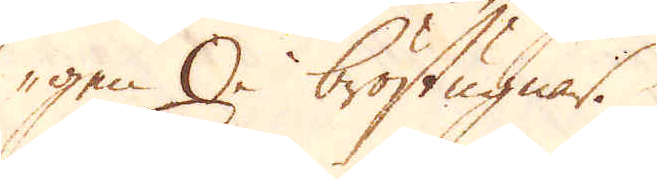gen i bröstugnar.
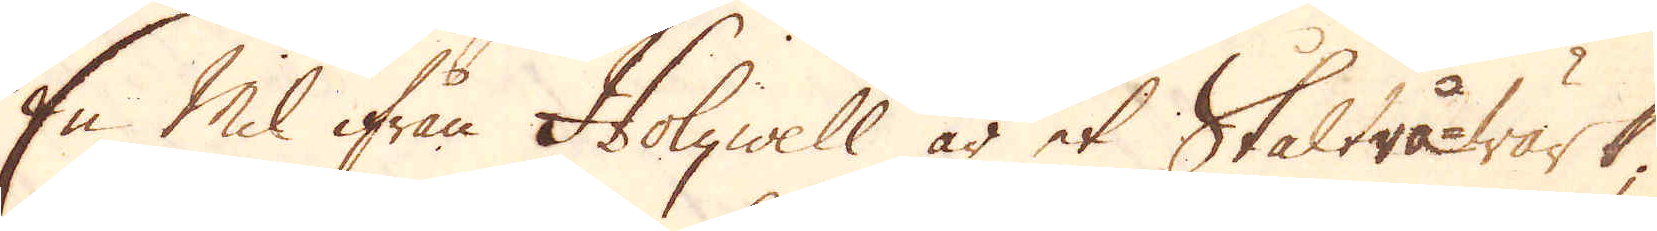En Mil ifrån Holywell är et Ståltrå-wärk;
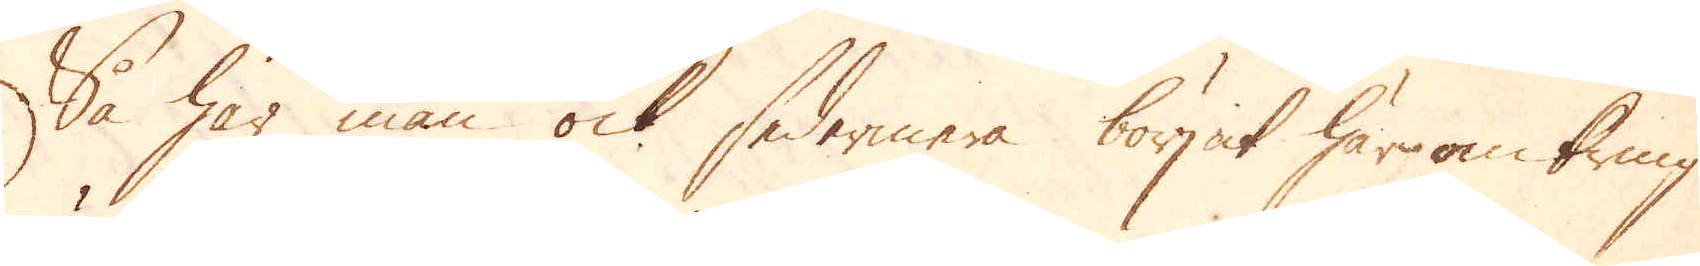Så har man ock sedermera börjat häromkring
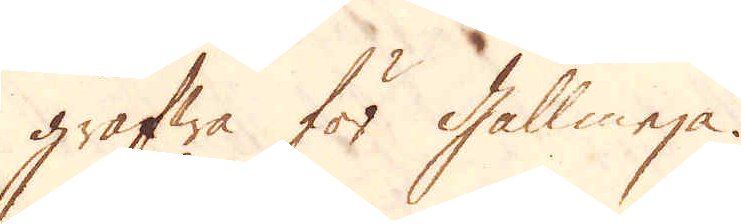gräfwa för Gallmeja.
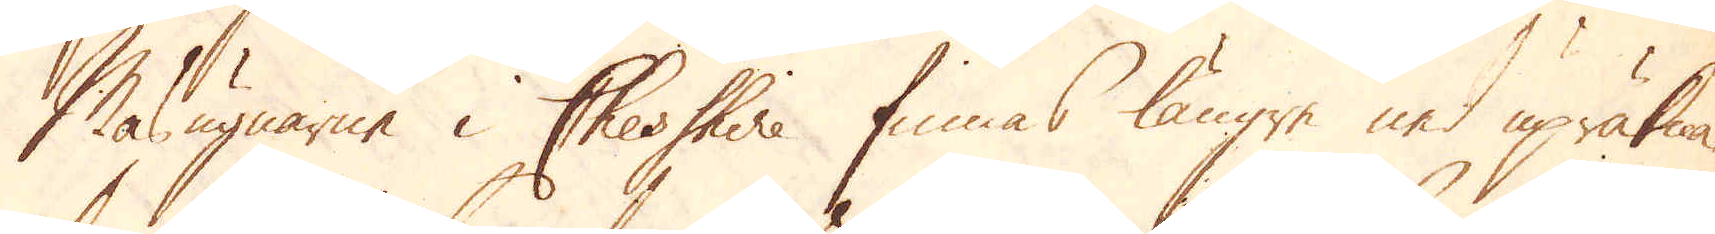Masugnarne i Cheshire finnas längre ned upräkna-
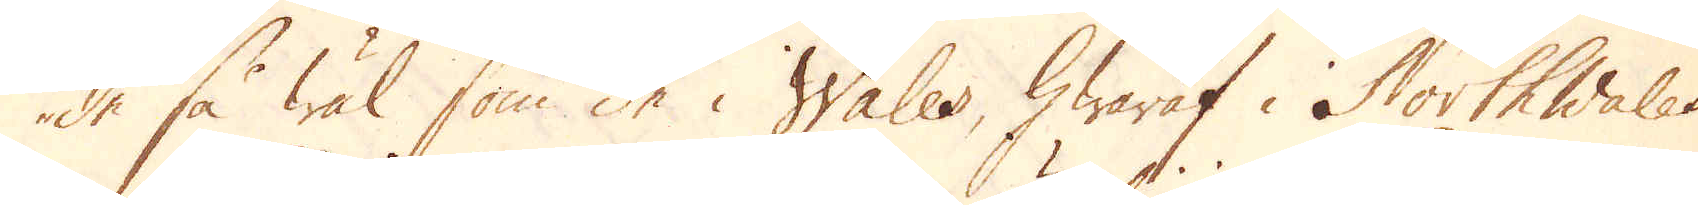de så wäl som de i Wales, hwaraf i North Wales
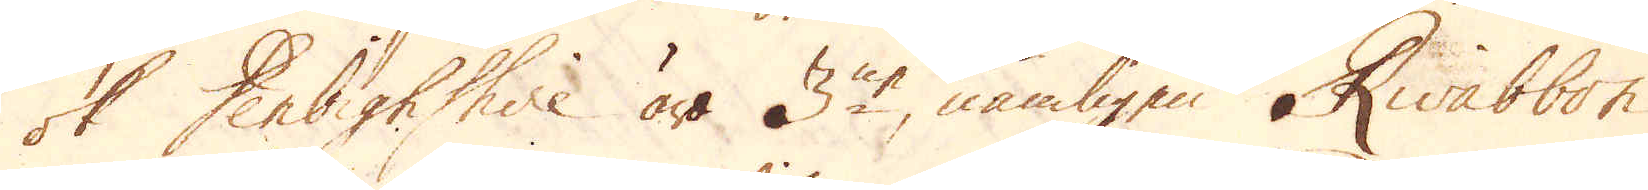ok Derbighshire äro 3ne, nämligen Rwabbon,
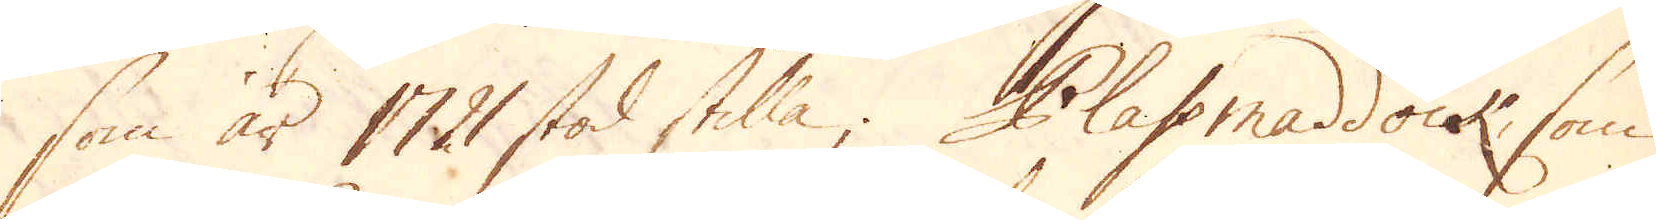som år 1721 stod stilla; Plassmaddock, som
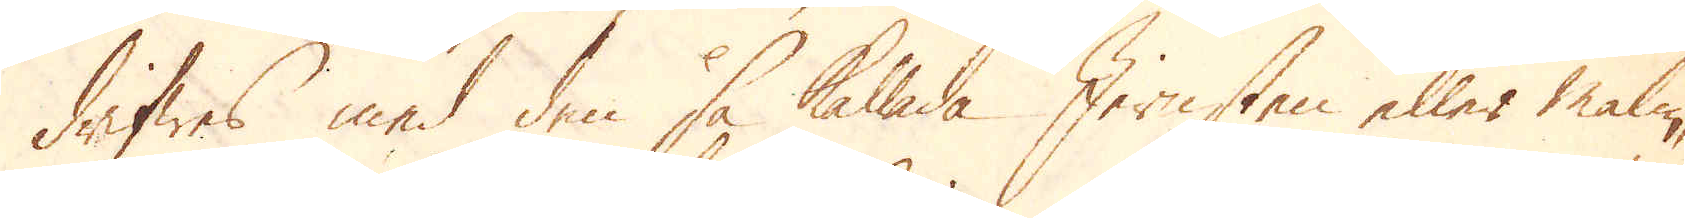drifwes med den så kallade Jernsten eller malm,
